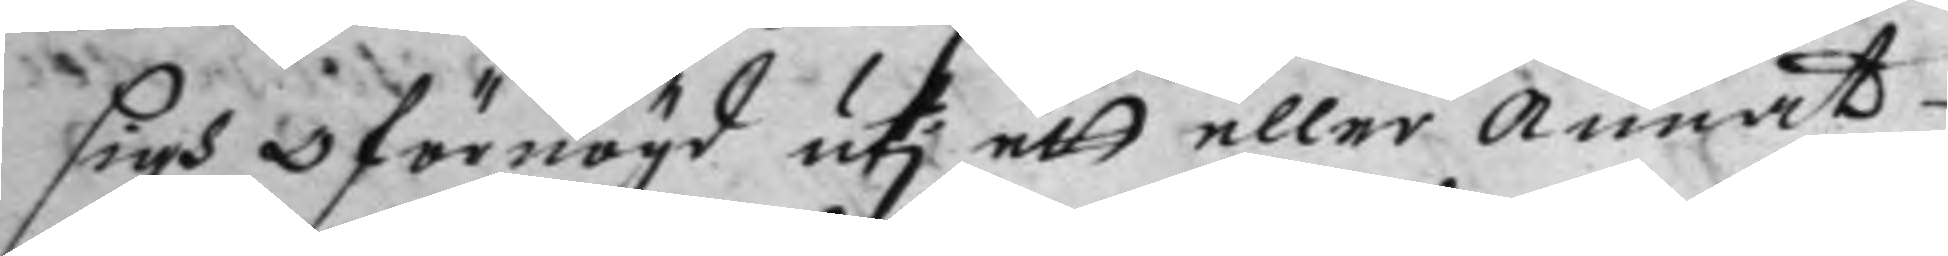sigh öförnögd uti ett eller Annat
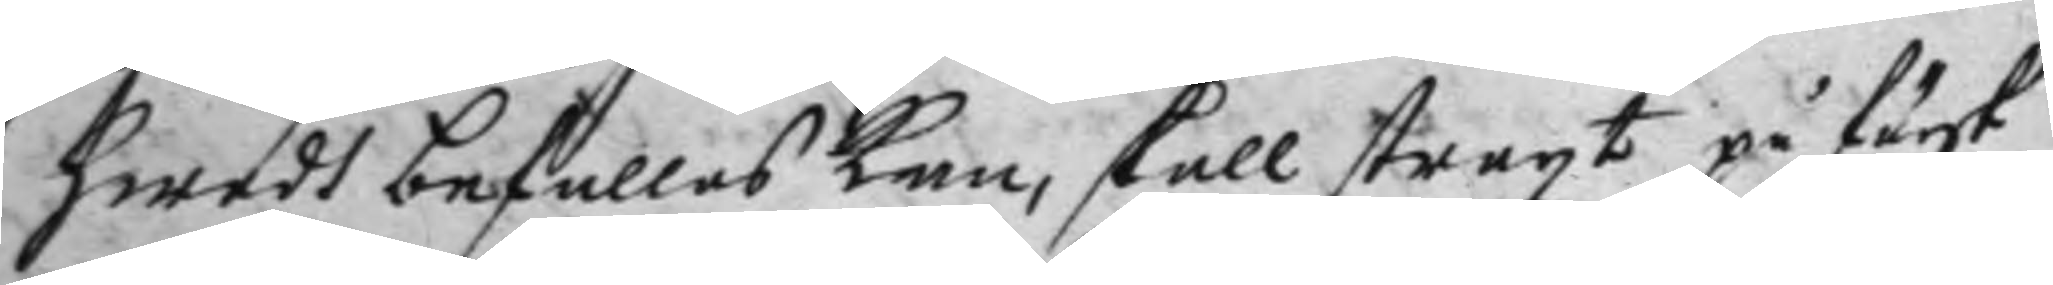hwadh befallas kan, skall straxt på färsk
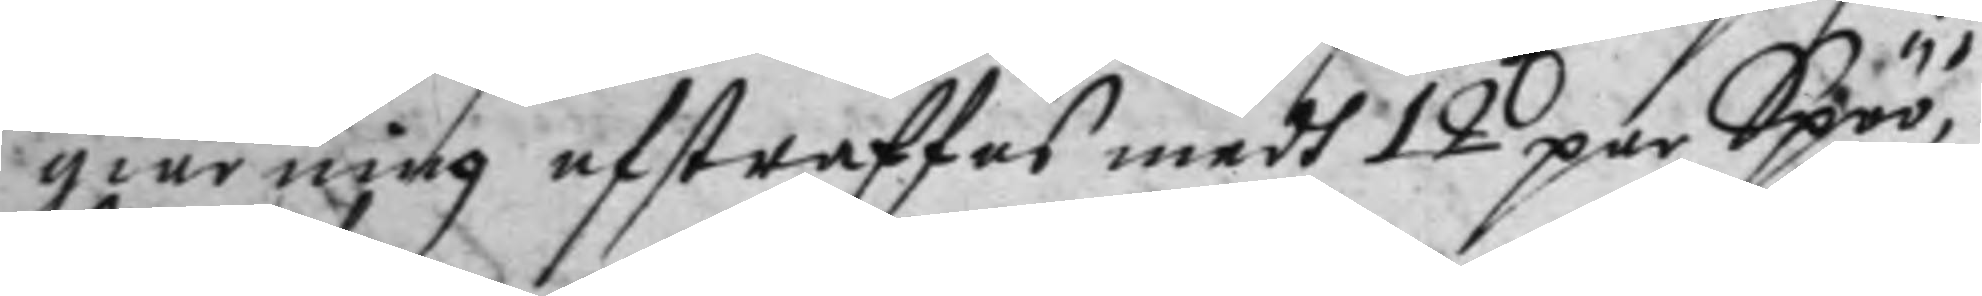giärning af straffas medh 12 par Spöö,
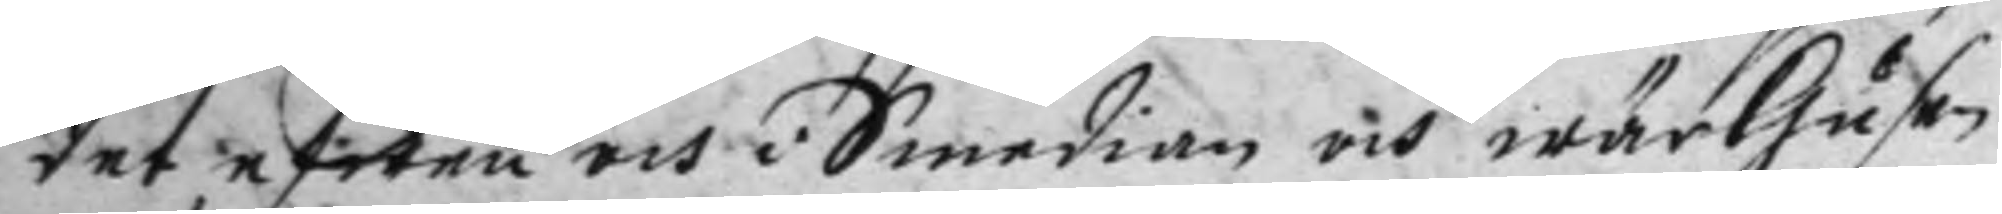det efwen och i Smedian och wärhusen
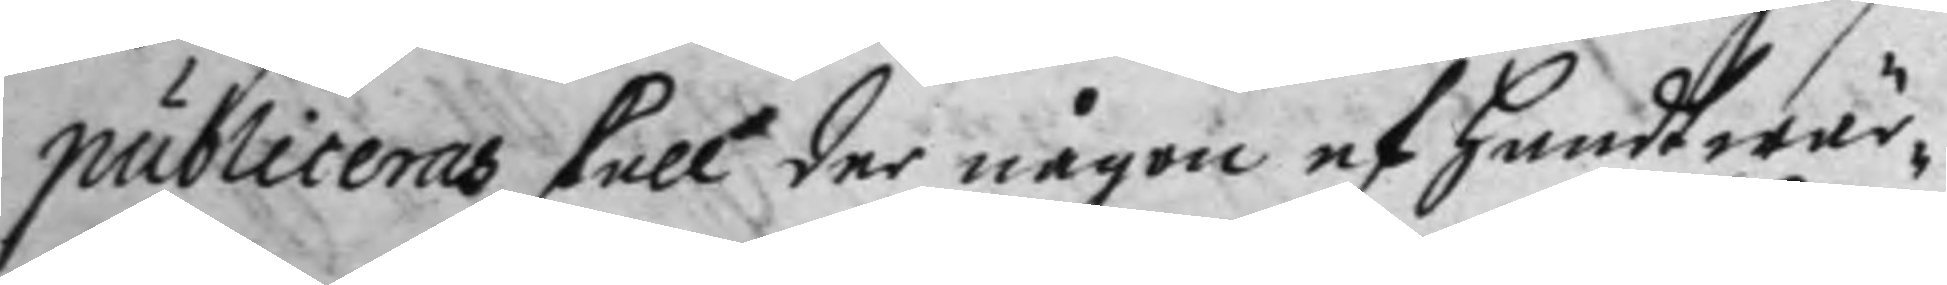publiceras skall der någon af handtwär¬
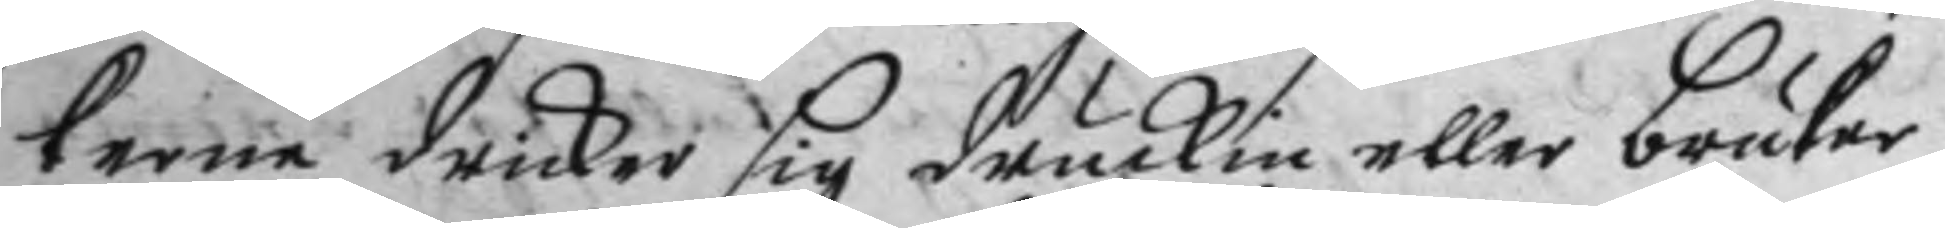kerne dricker sig druckin eller brukar
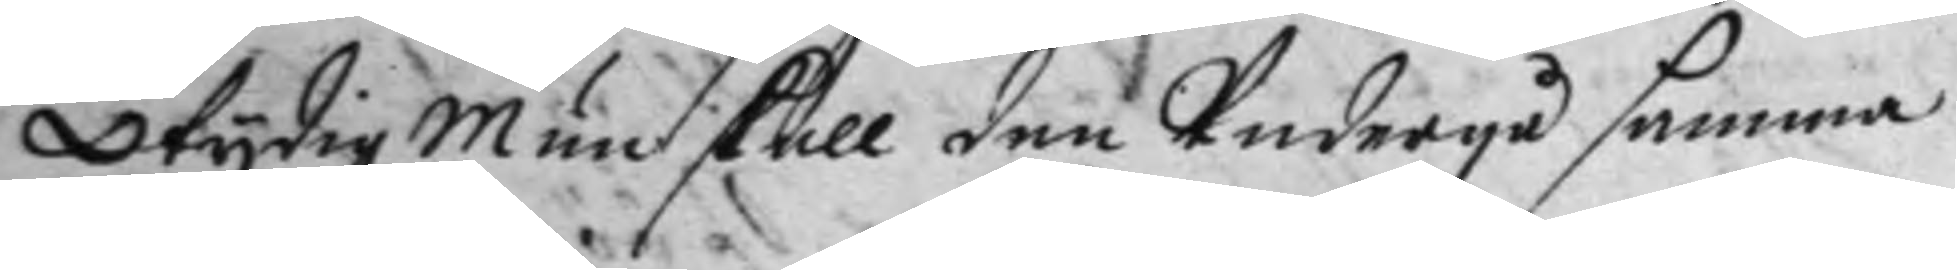otydig Mun skall den Undergå samma
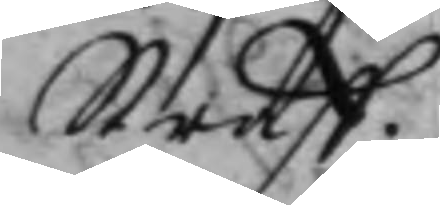Straff.
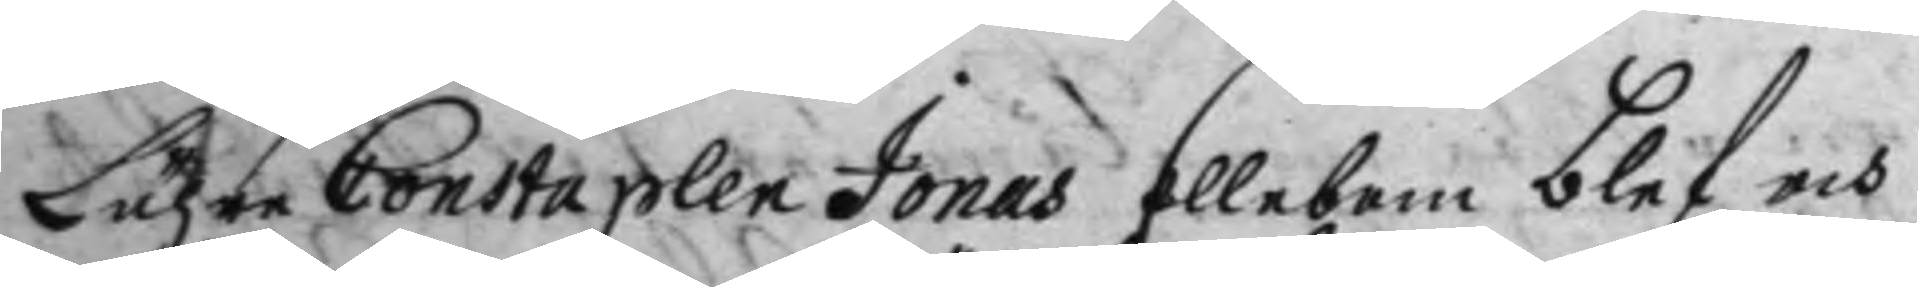Lähre Constaplen Jonas Ellebom blef och
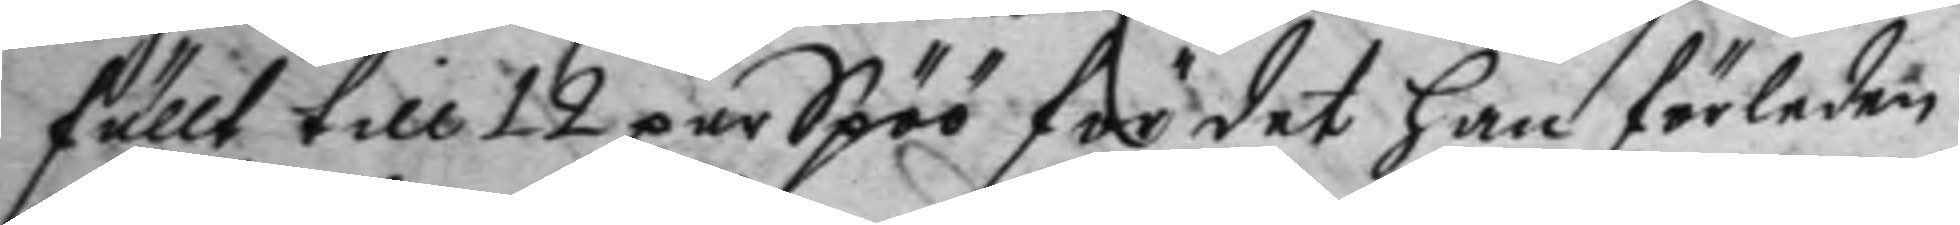fällt till 12 par Spöö för det han förleden
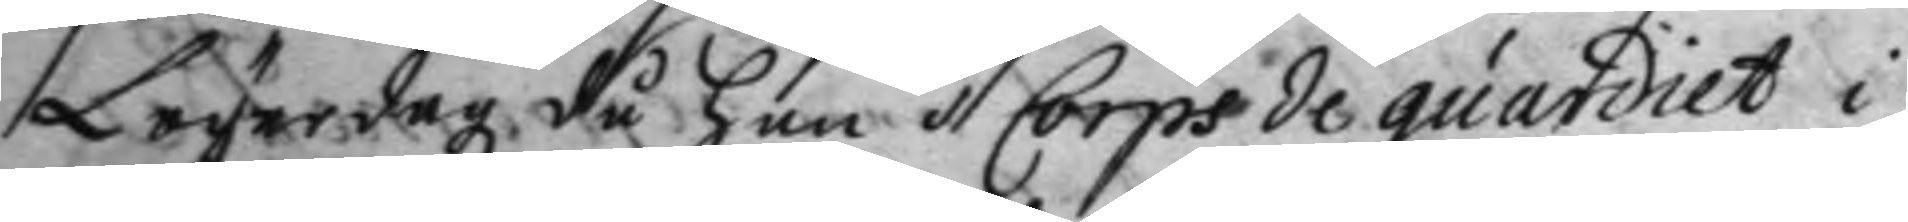Lögerdag då han i Corps de guardiet i
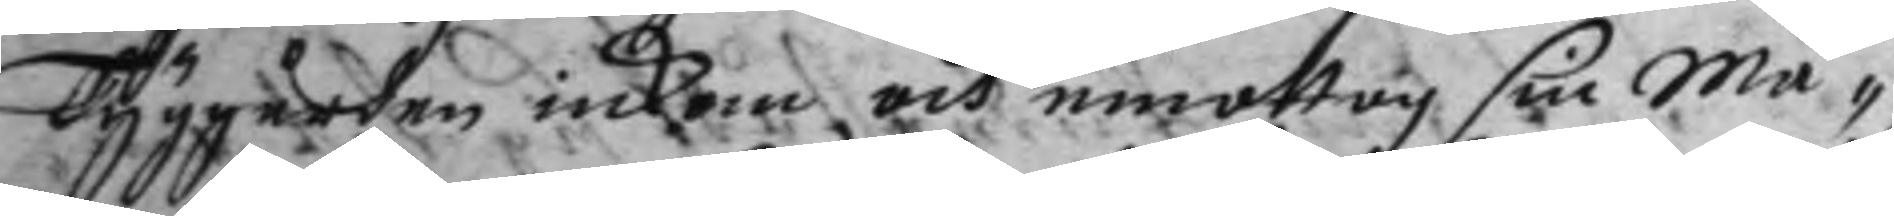Tyggården inkom och emottog sin må¬
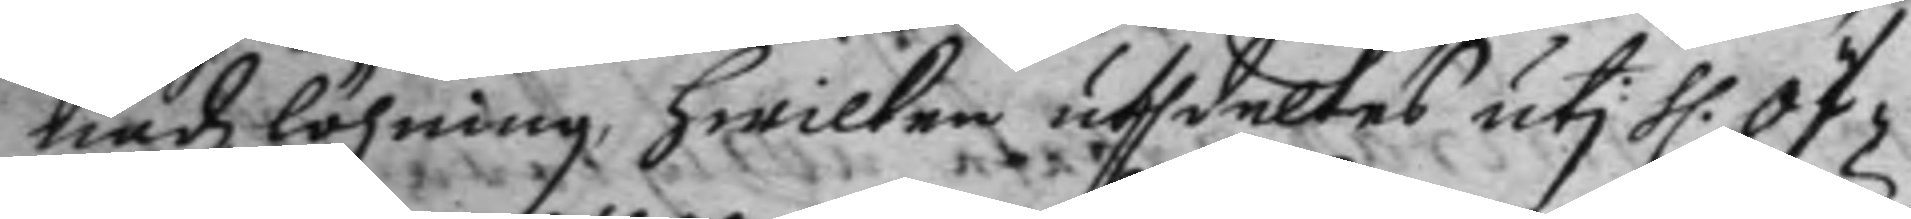nadz löhning, hwilken uthdeltes uti H: öf¬
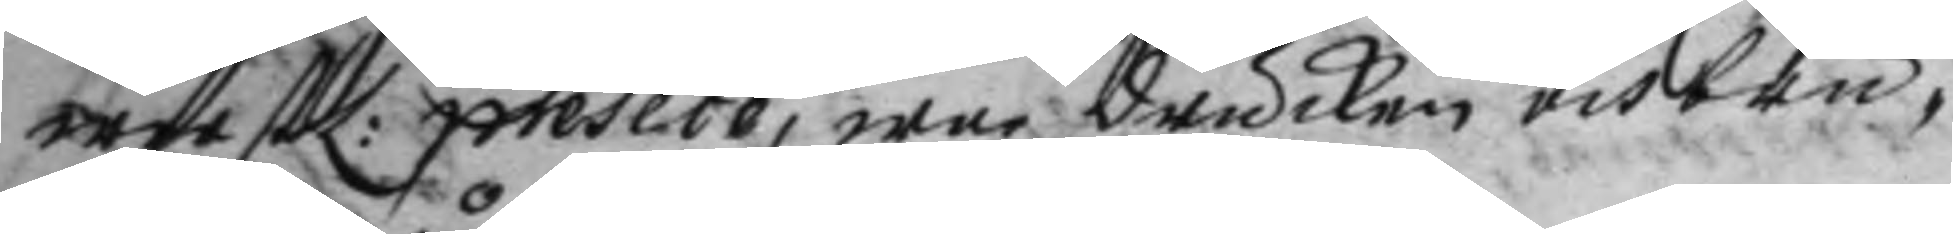werstL: preseco, war drucken och bru¬
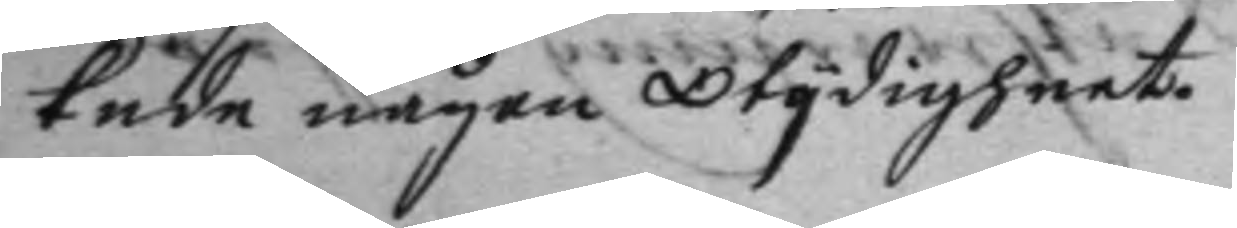kade någon otydigheet.
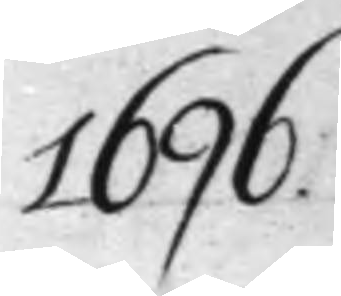1696.
